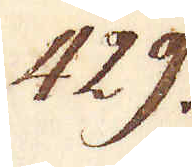429.
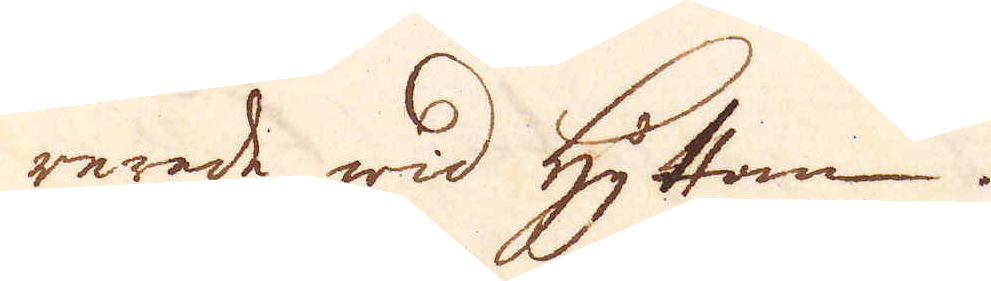rerade wid Hyttan.
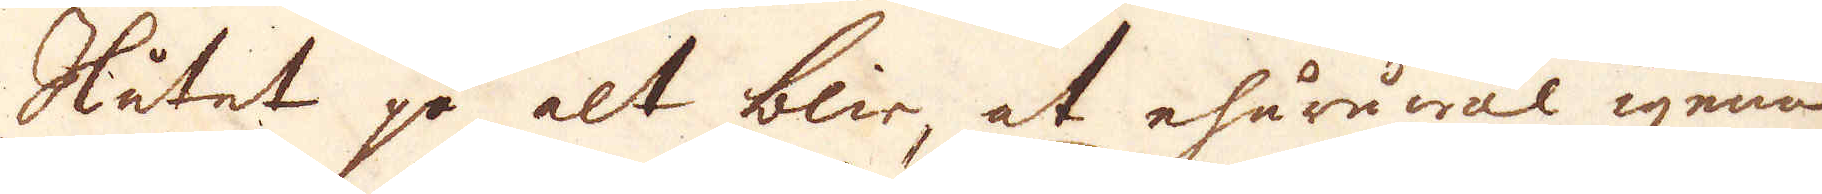Slutet på alt blir at ehuruwäl igenom
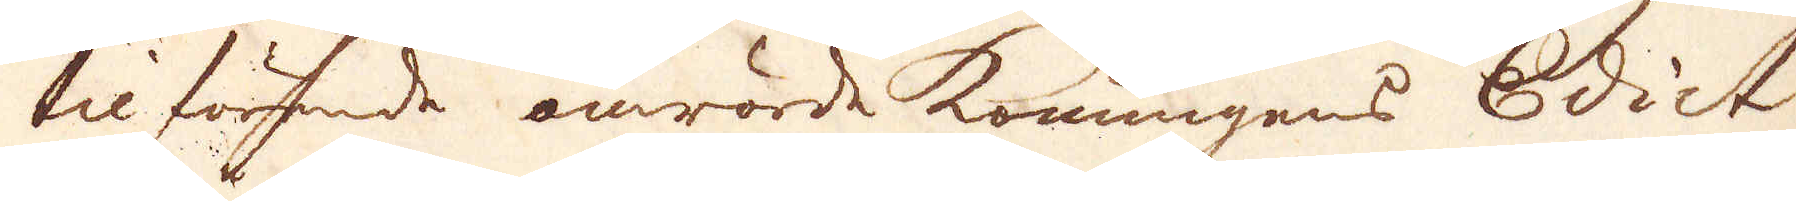tilförende omrörde konungens Edict
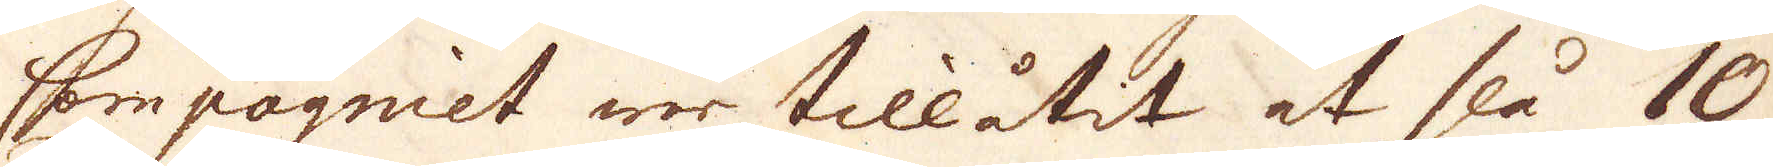Compagniet war tillåtit at slå 10
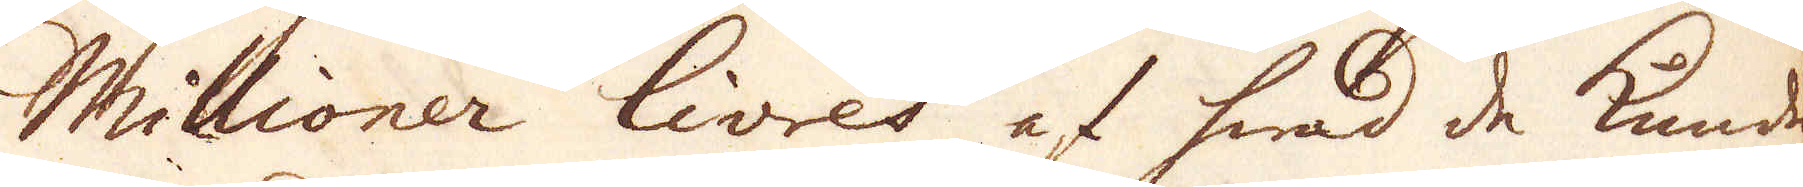Millioner livres af hwad de kunde
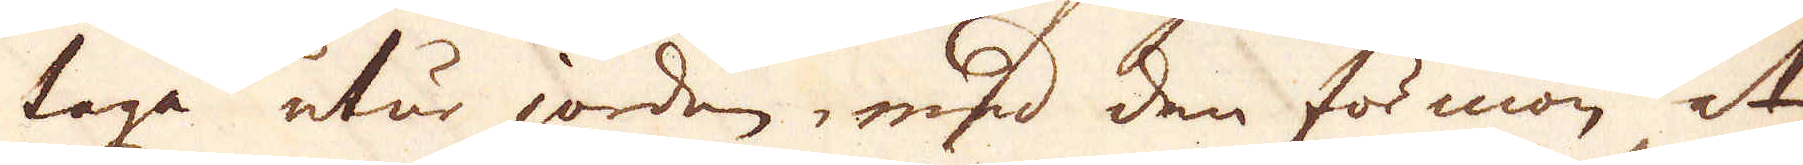taga utur jorden, msid den förmon at
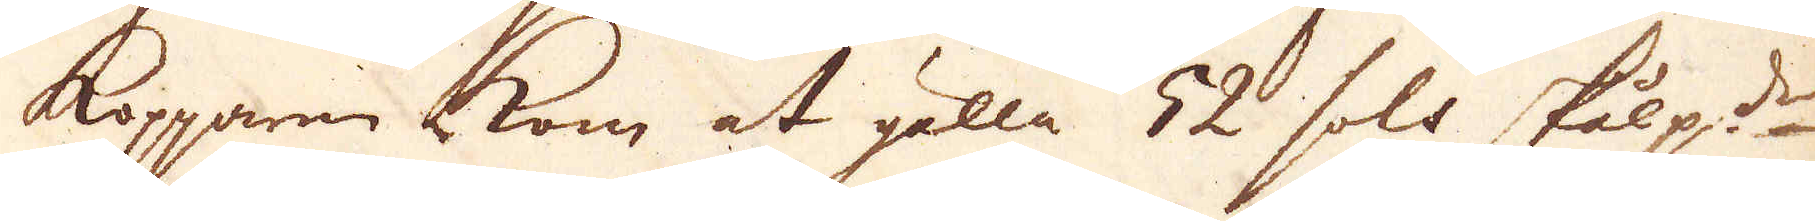kopparen kom at gälla 52 sols skålp:det
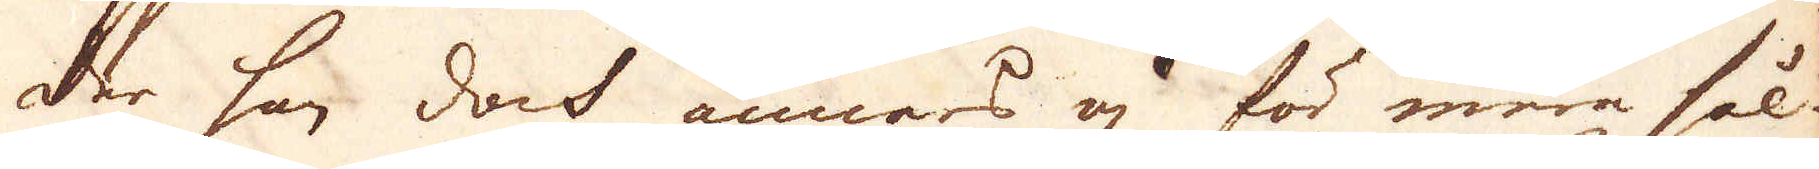der har doch annars ej för mera sål-
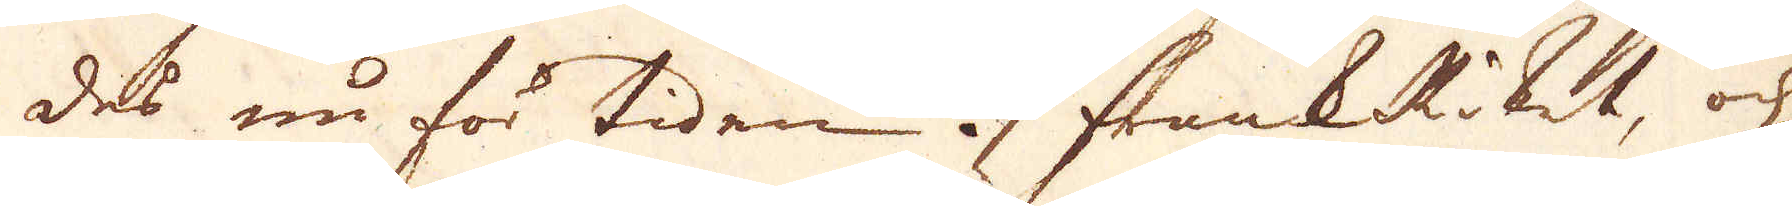des nu för tiden i FrankRiket, och
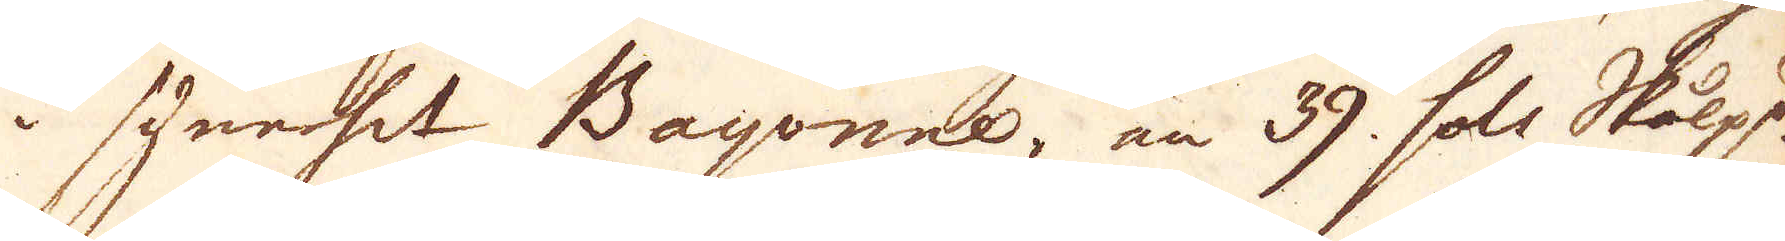i synerhet Bayonne, än 39, sols Skålp:d
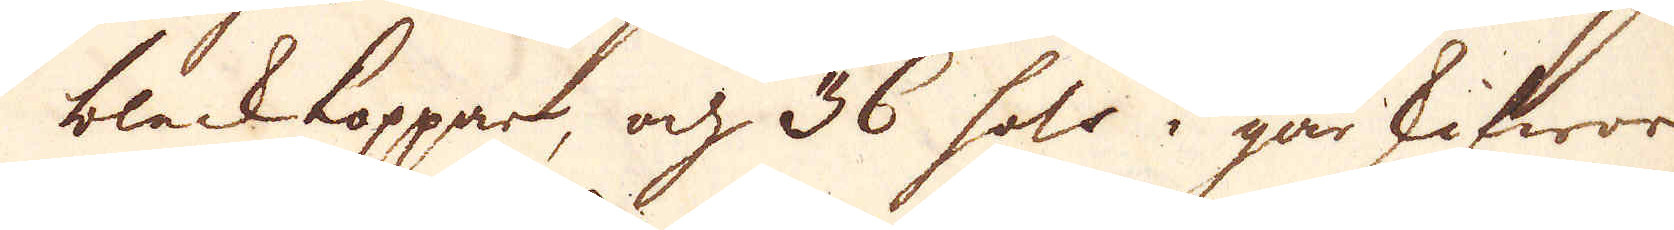blackkoppar, och 36 sols i går skifwor
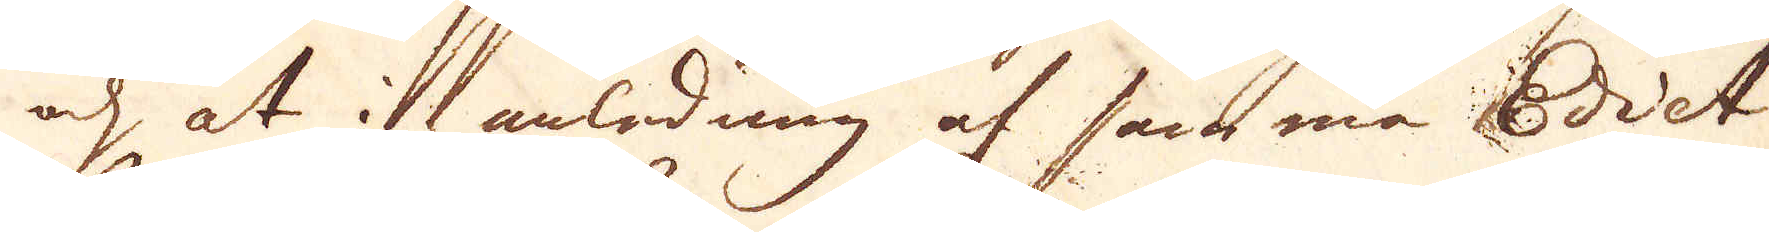och, at i anlodnng af sanmma Edict
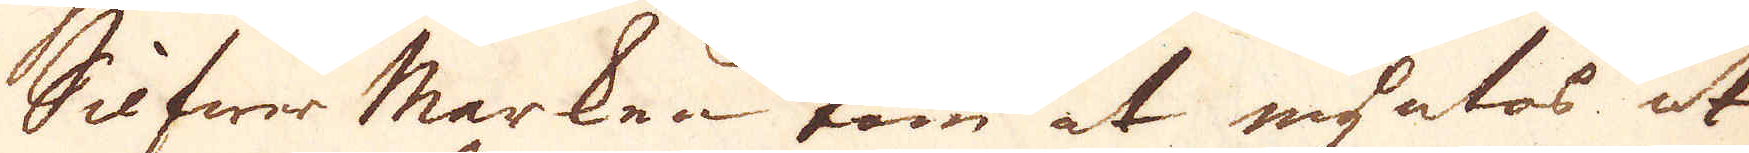Silfwer Marken kom at myntas ut
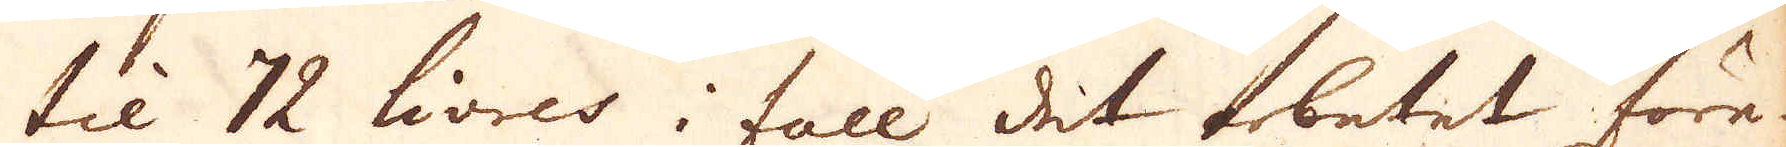til 72 livres i fall det arbetet före-
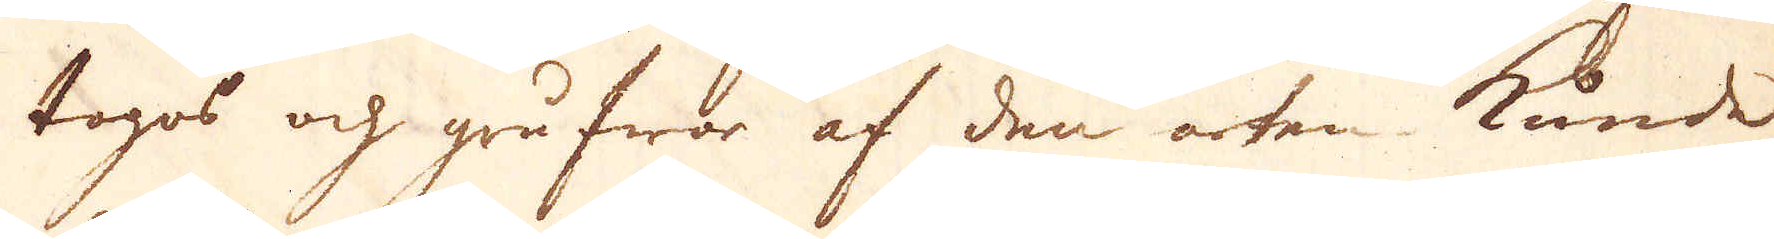togos och grufwor af den arten kunde
